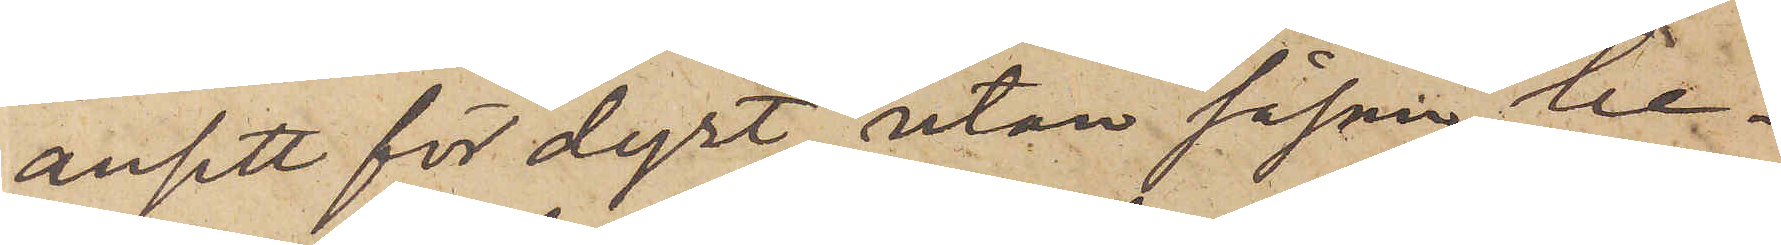ansett för dyrt, utan såsom be¬
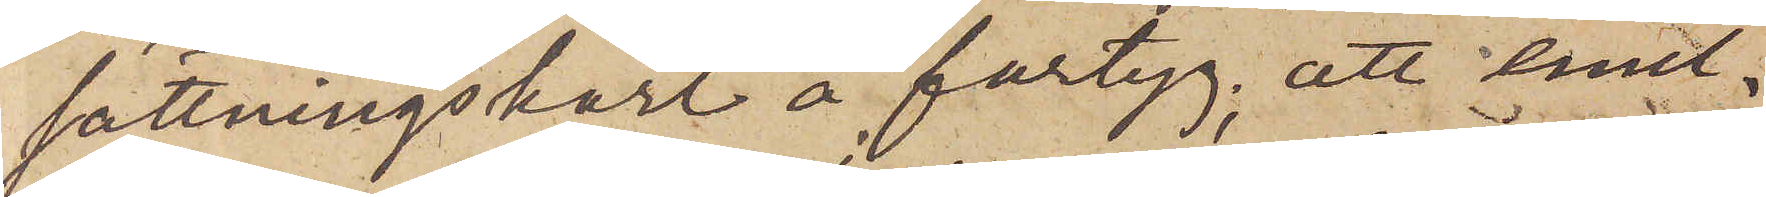sättningskarl å fartyg; att emel¬
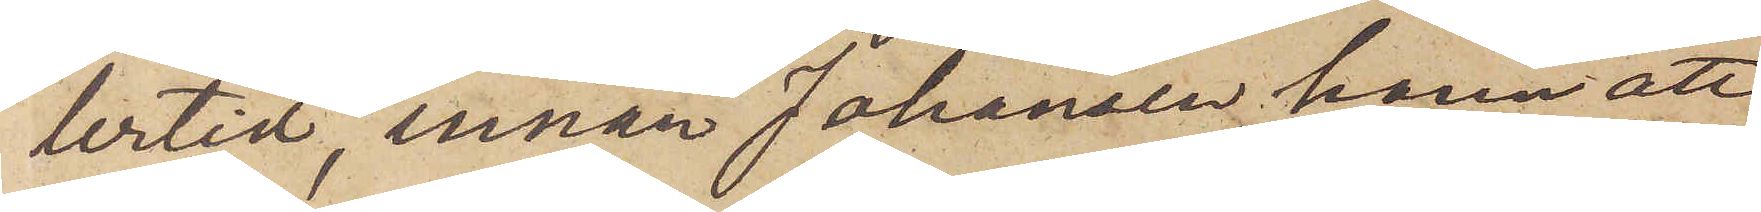tertid, innan Johansen hann att
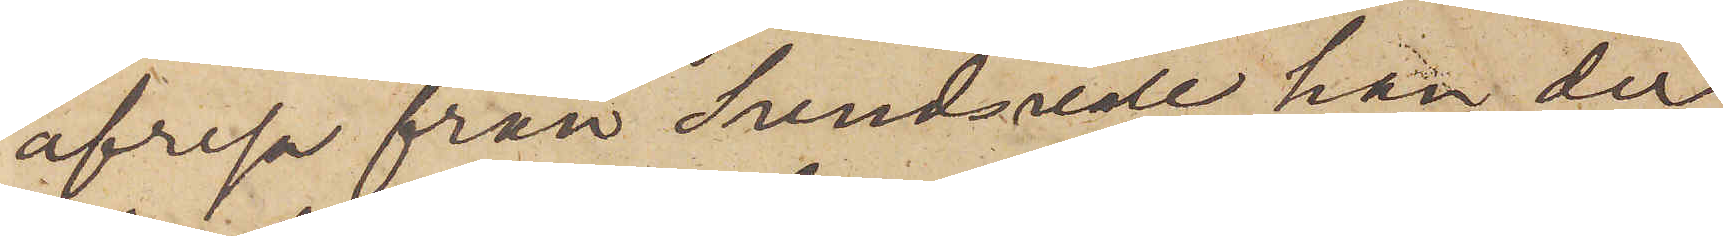afresa från Sundsvall, han der
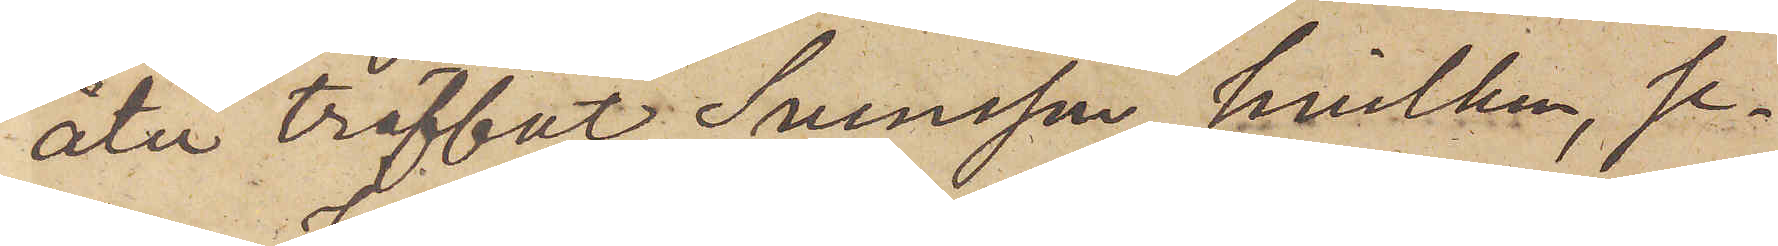åter träffat Svensson, hvilken, se¬
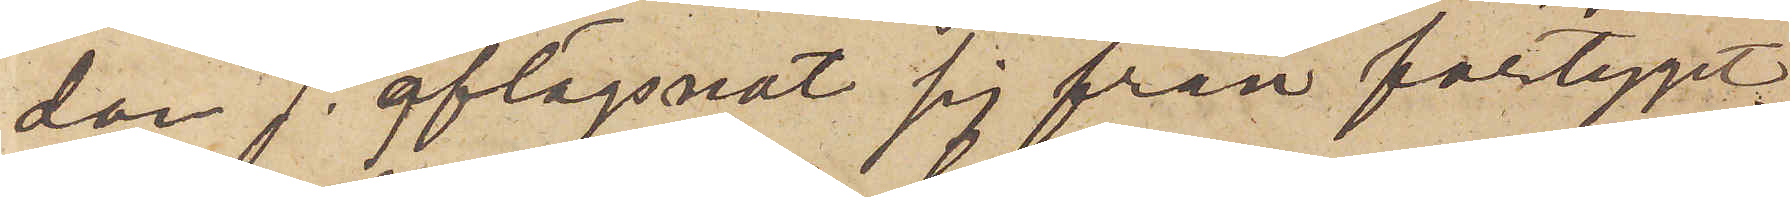dan J. aflägsnat sig från fartyget,
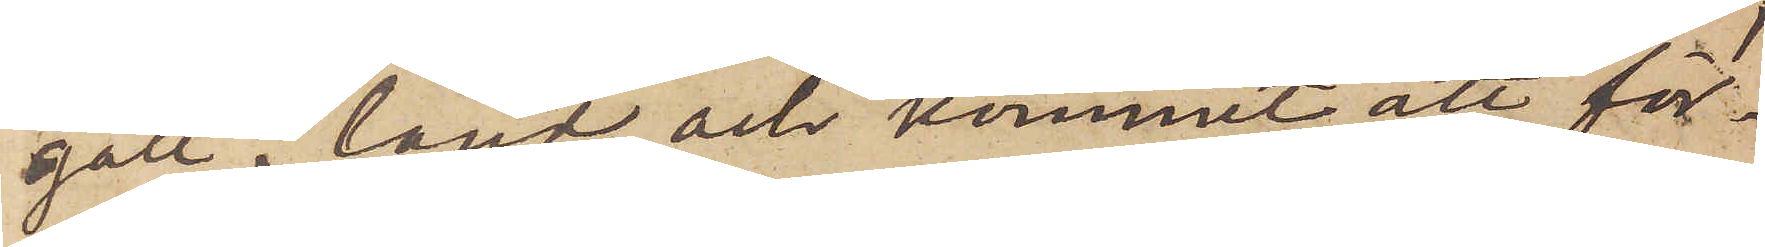gått i land och kommit att för¬
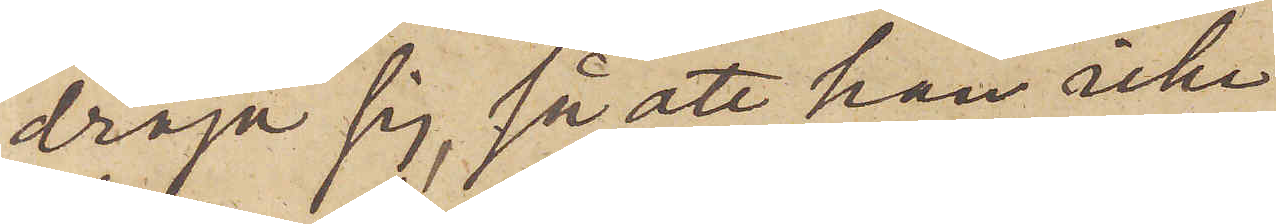dröja sig, så att han icke
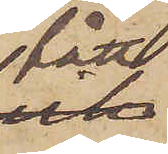fått
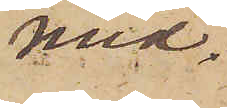med¬
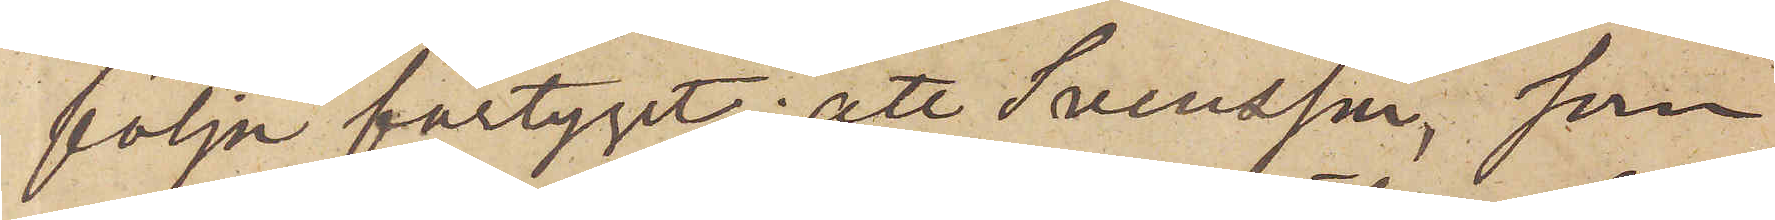följa fartyget; att Svensson, som
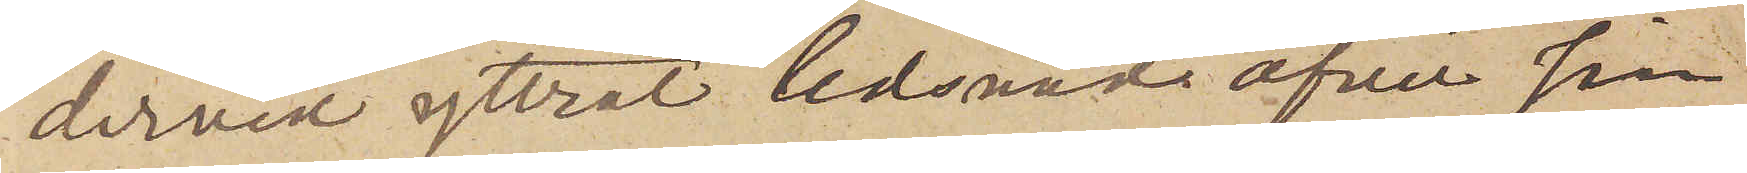dervid yttrat ledsnad öfver sin
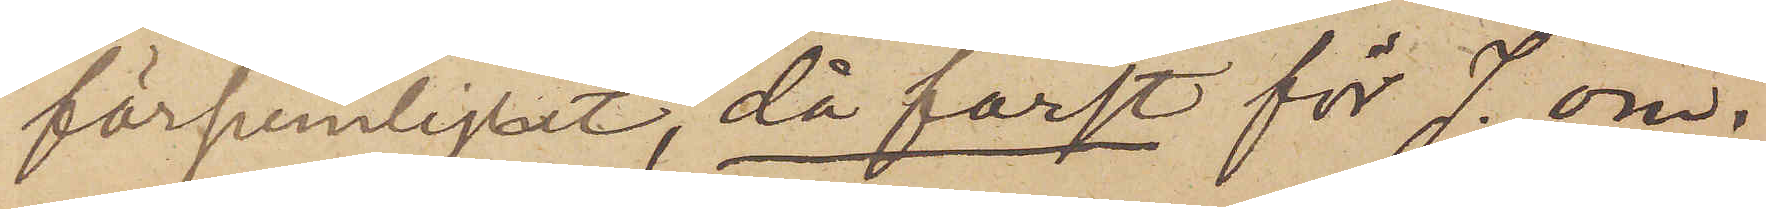försumligtet, då först för J. om¬
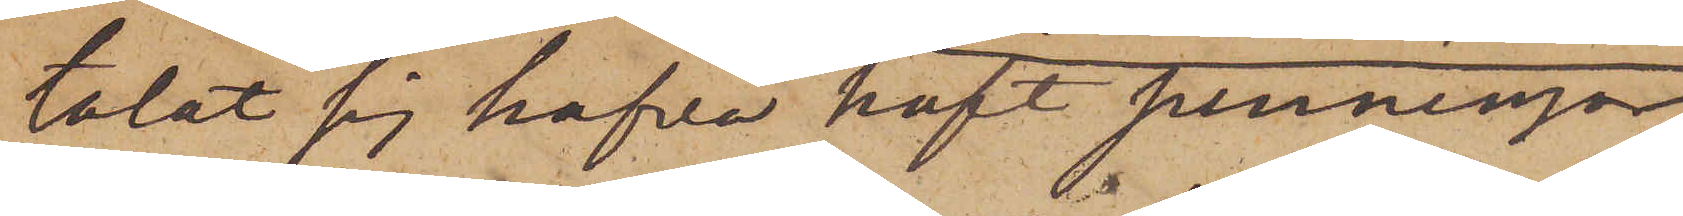talat sig hafva haft penningar
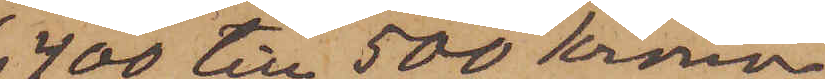400 till 500 kronor,
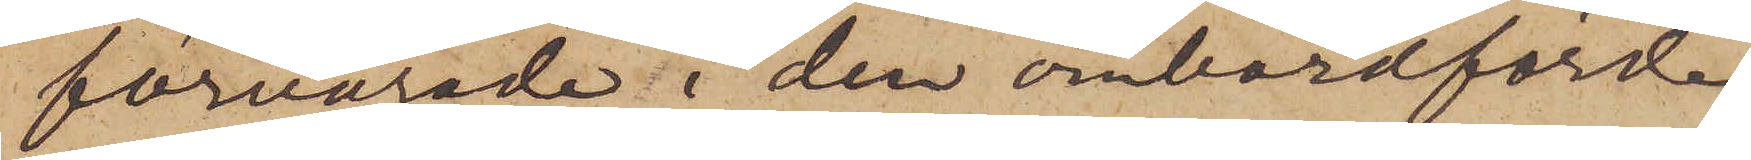förvarade i den ombordförda
